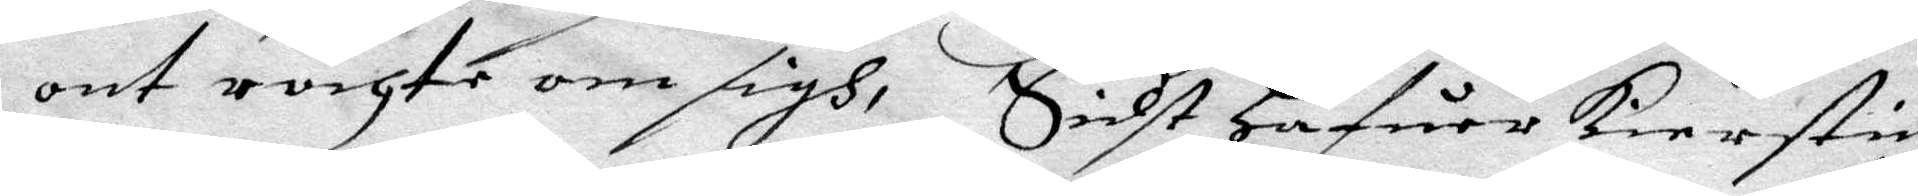ont röchte om sigh, Sidst hafuer Kierstin
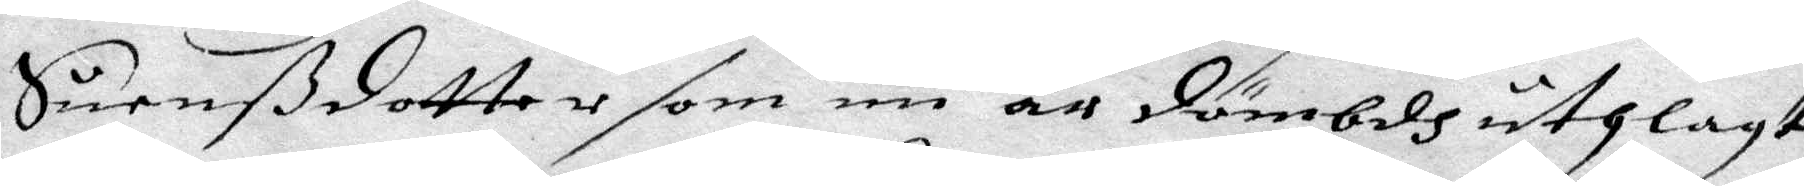Suenßdotter som nu är dömbdh uthlagt
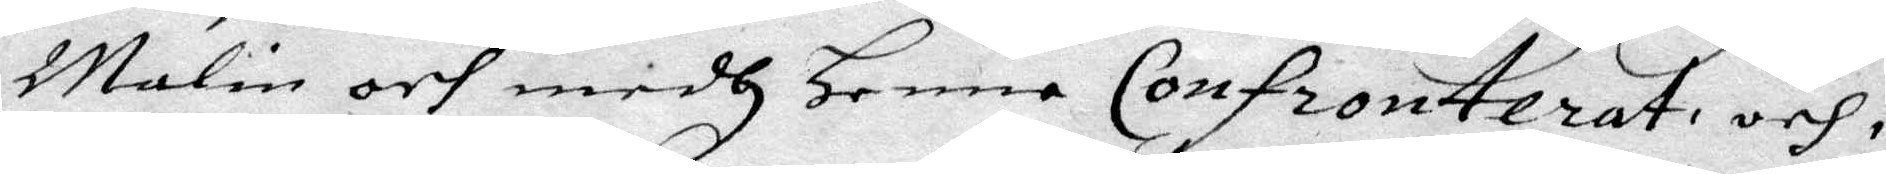Malin och medh Henne Confronterat, och i
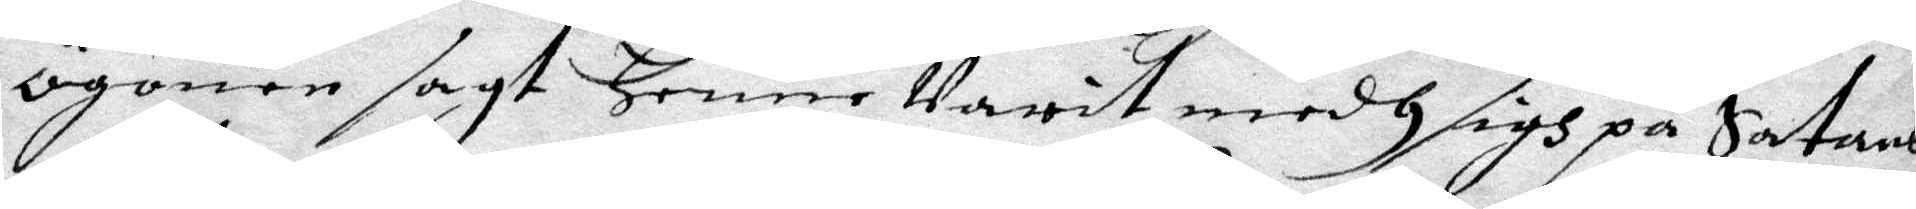ögonen sagt Henne Varit medh sigh på Satans
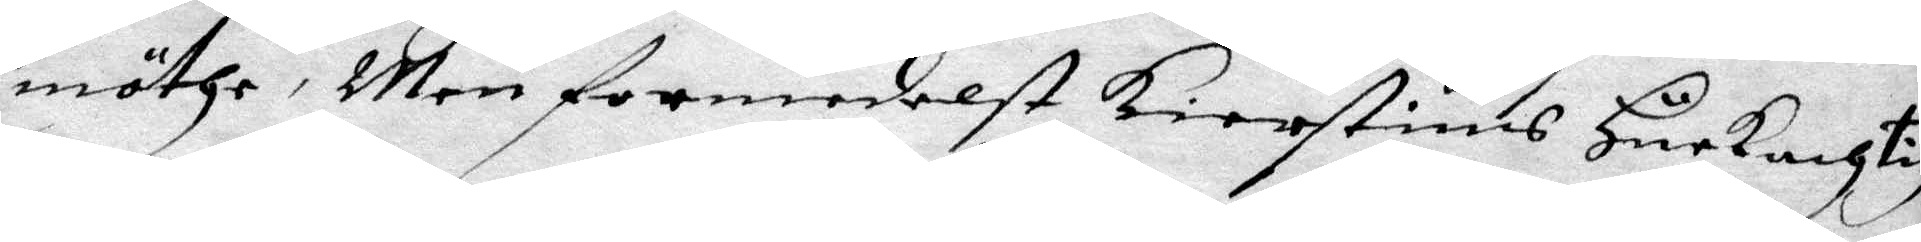möthe, men formedelst Kierstins Hurkachtig
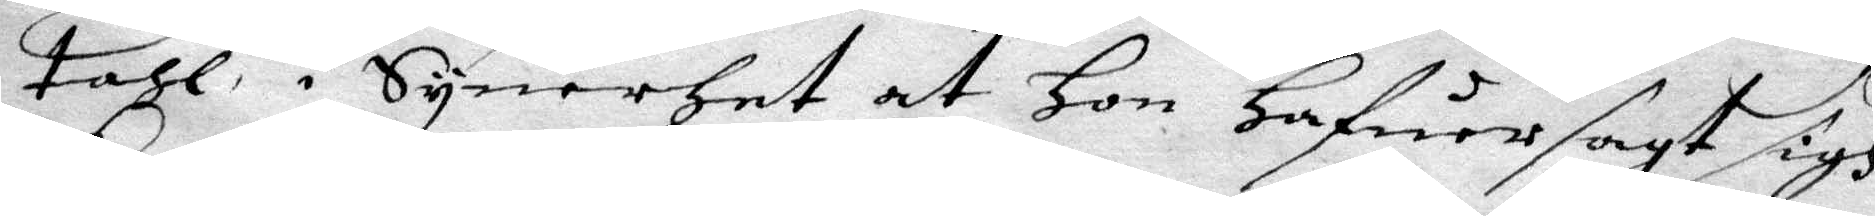tahl i Synerhet at Hon hafuer sagt sigh
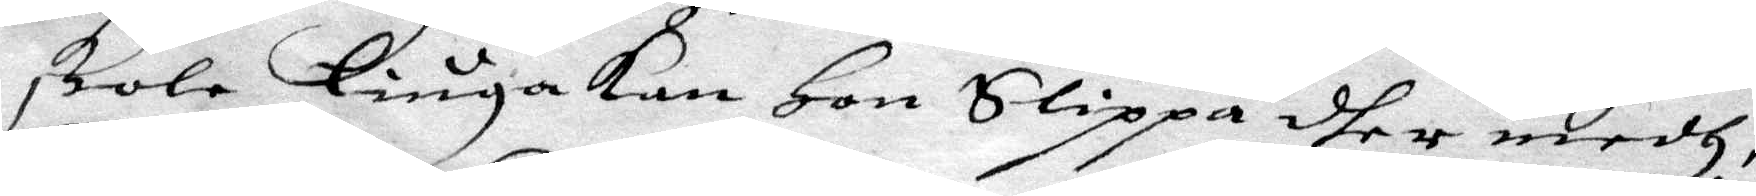skola Liuga kan Hon Slippa dher medh
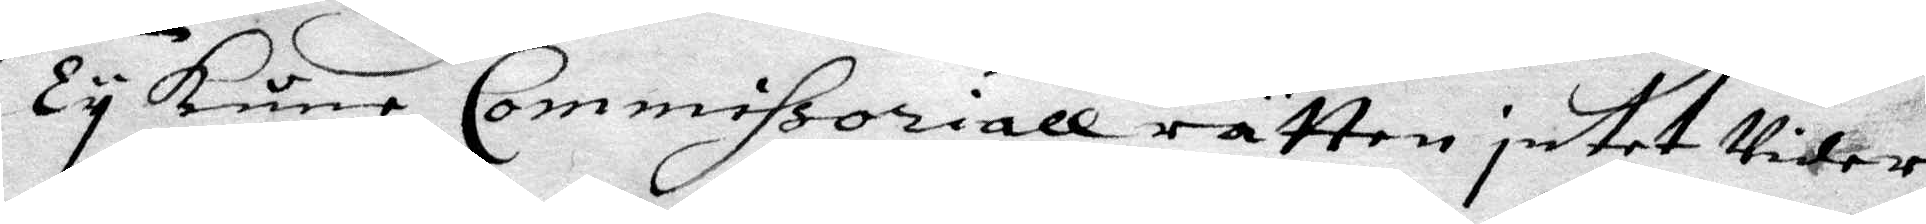Ty kuna Commissoriall rätten intet Vidare
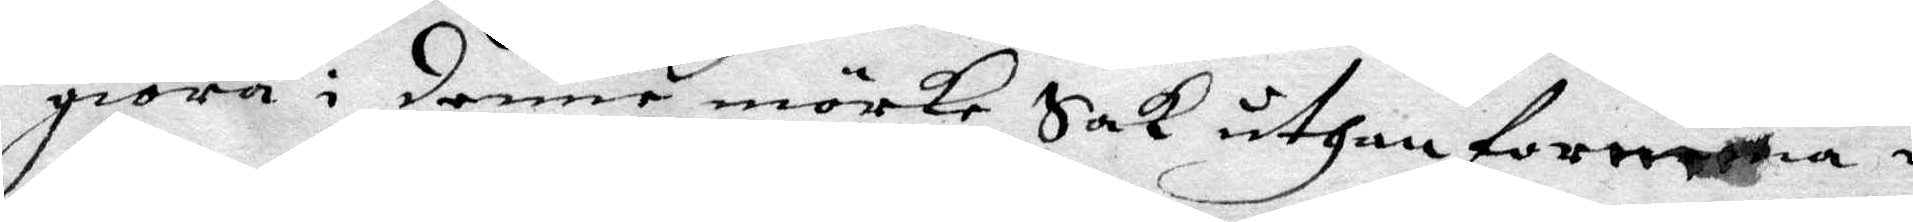giöra i denne mörke Sak uthan foreema i
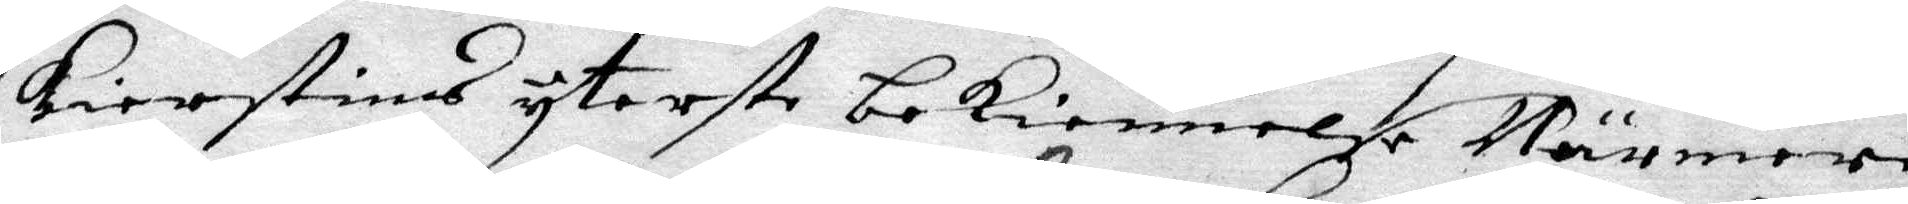Kierstins yterste bekiennelse Närmere
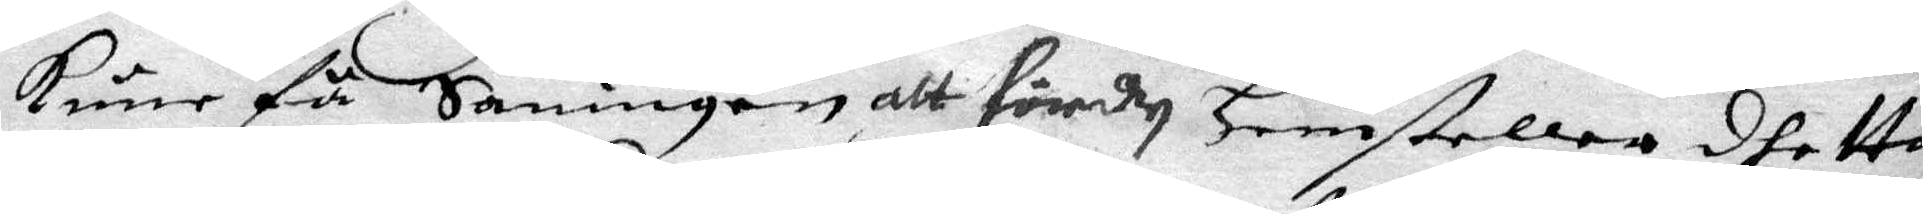kune få Saningen alt fördy Hemsteller dhetta
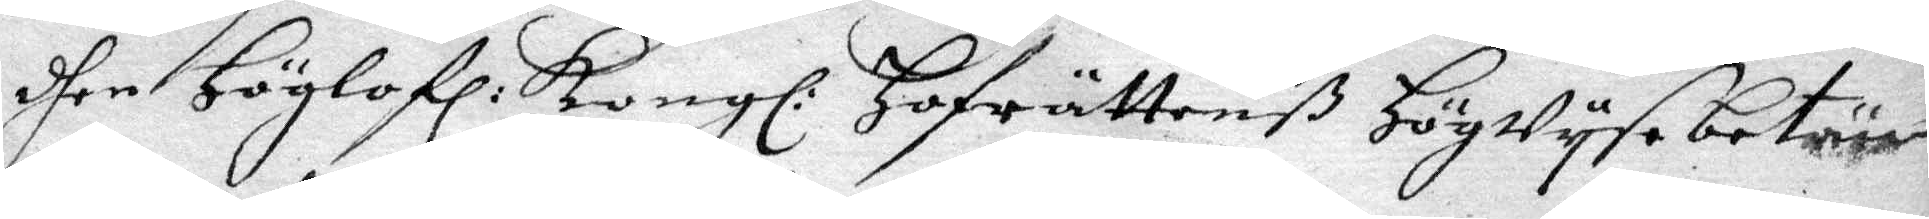dhen Höglofl: Kongl: Hofrättenß Högwysa betän¬
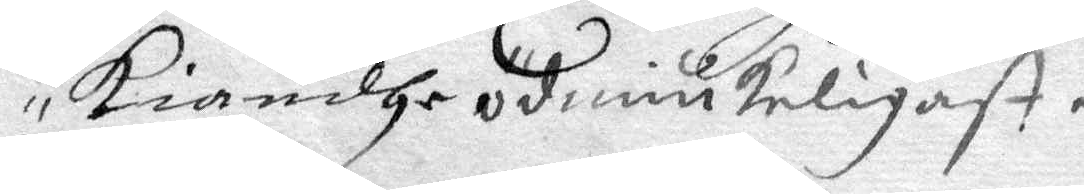kiandhe ödmiukeligast.
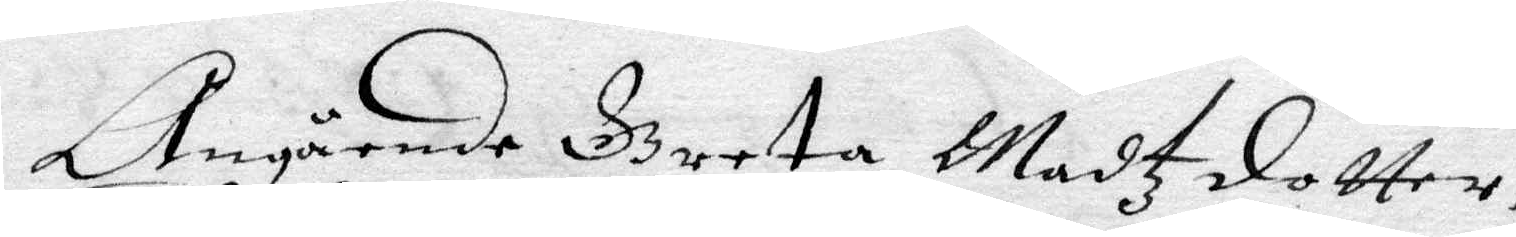Angående Breta Matzdotter,
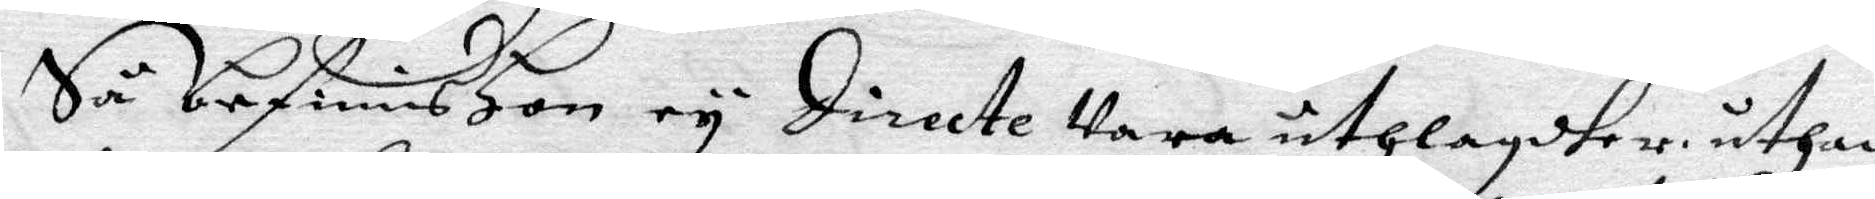Så befinis Hon ey directe Vara uthlagdher uthan
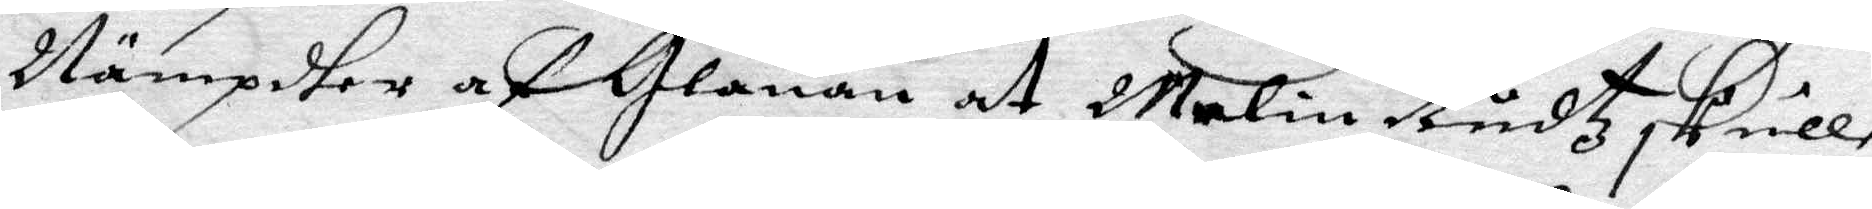Nämpdher af Glanan at Malin Rudtz skulle
